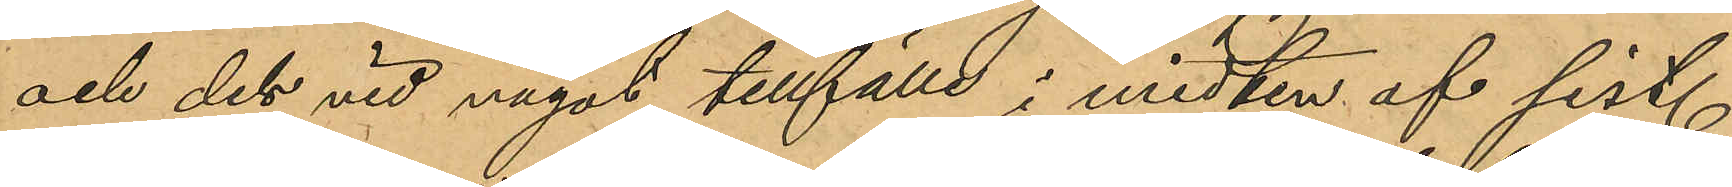och det vid något tillfälle i midten af sist.
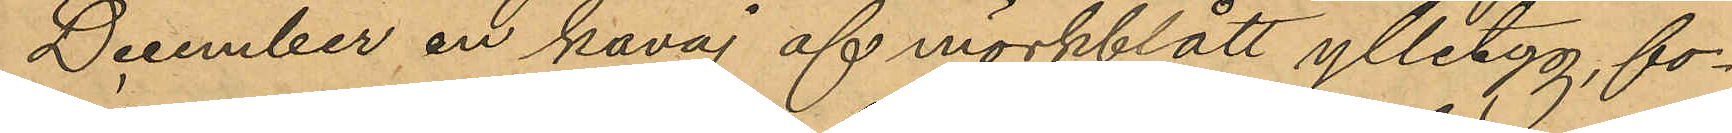December en kavaj af mörkblått ylletyg, fo¬
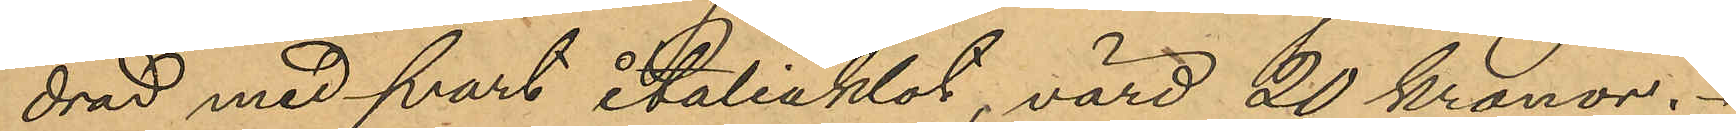drad med svart italiaklot, värd 20 kronor.
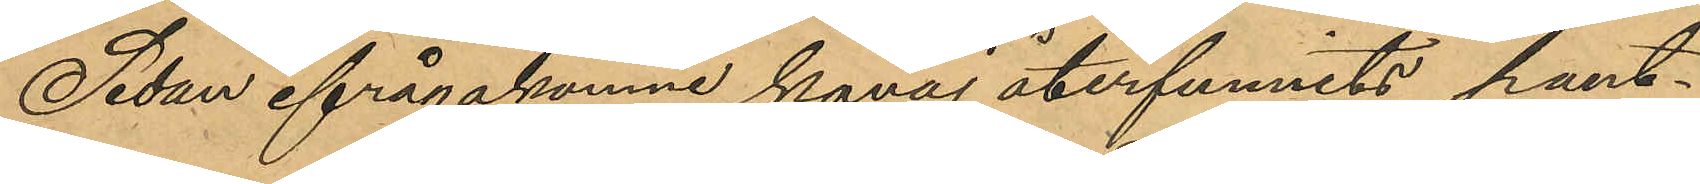Sedan ifrågakomne kavaj återfunnits pant¬
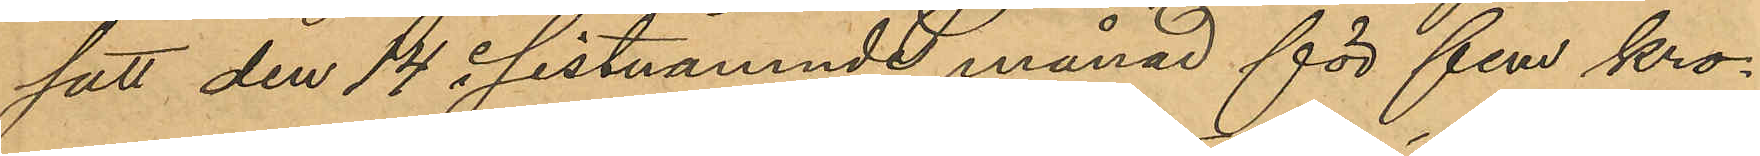satt den 14 i sistnämnde månad för fem kro¬
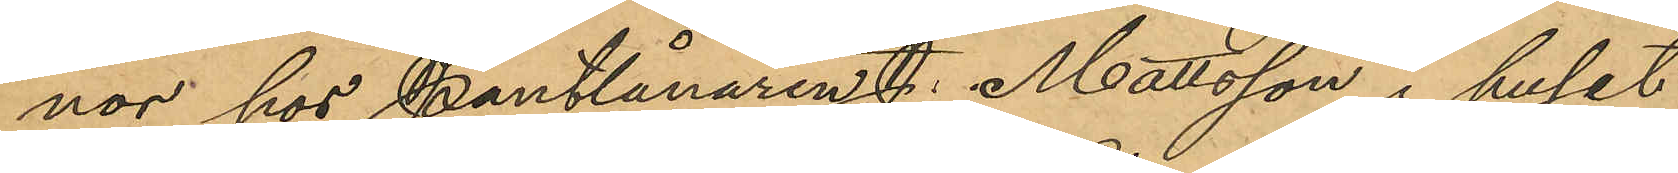nor hos Pantlånaren J. Mattsson i huset
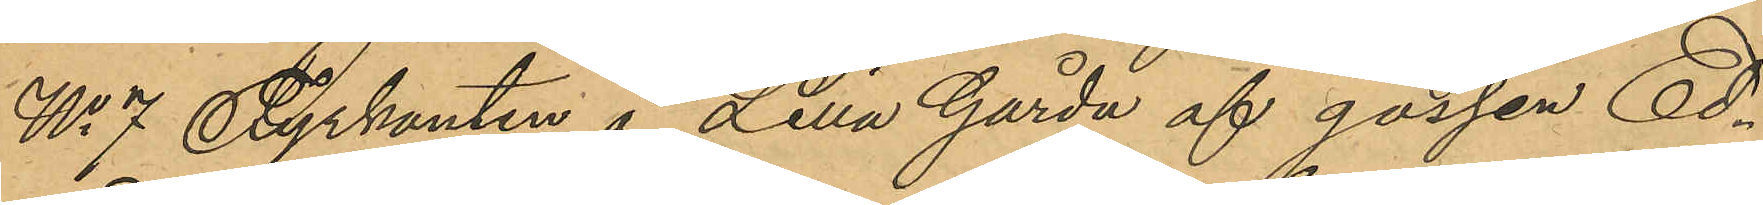No 7 Fyrkanten å Lilla Gårda af gossen Ed¬
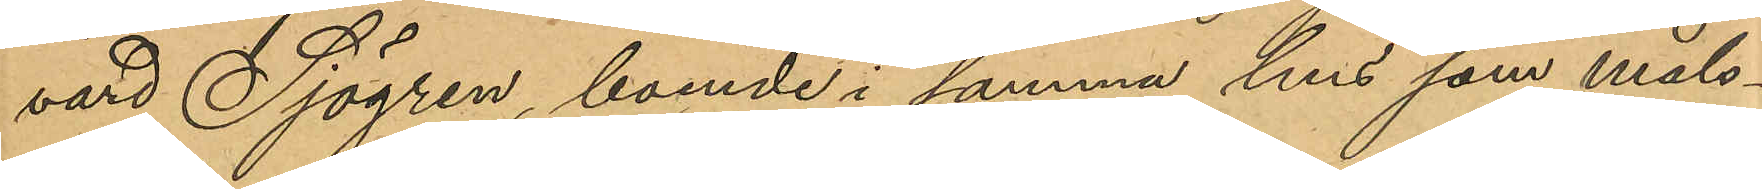vard Sjögren, boende i samma hus som måls¬
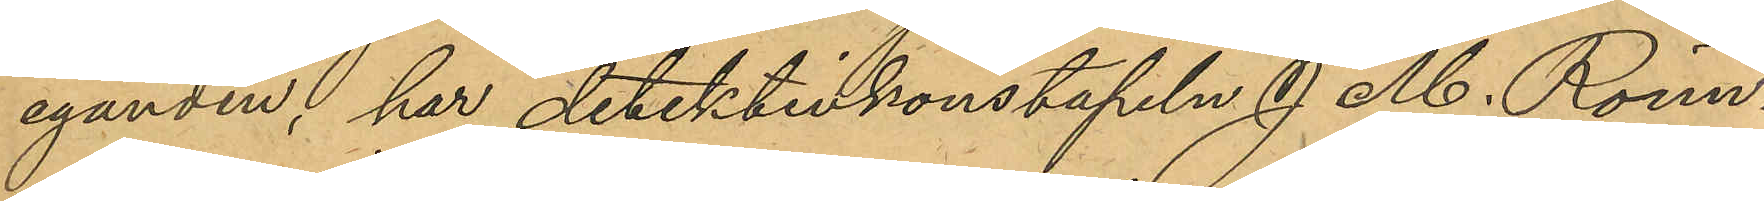eganden, har detektivkonstapeln J. M. Rönn¬
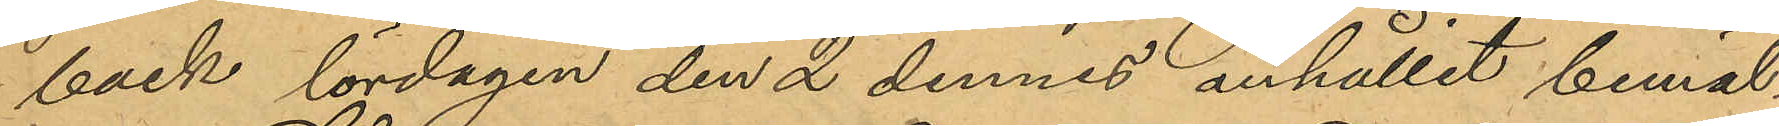bäck lördagen den 2 dennes anhållit bemäl¬
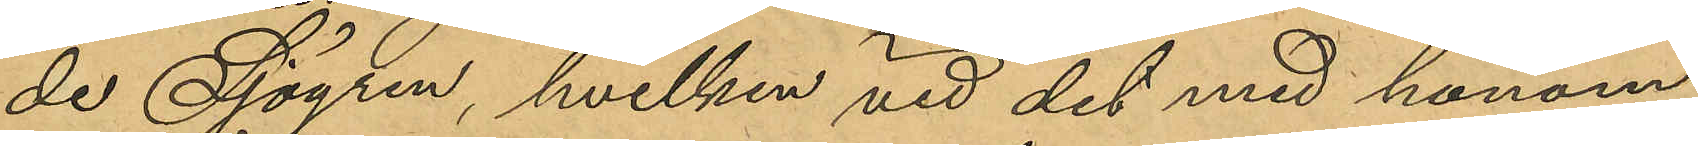de Sjögren, hvilken vid det med honom
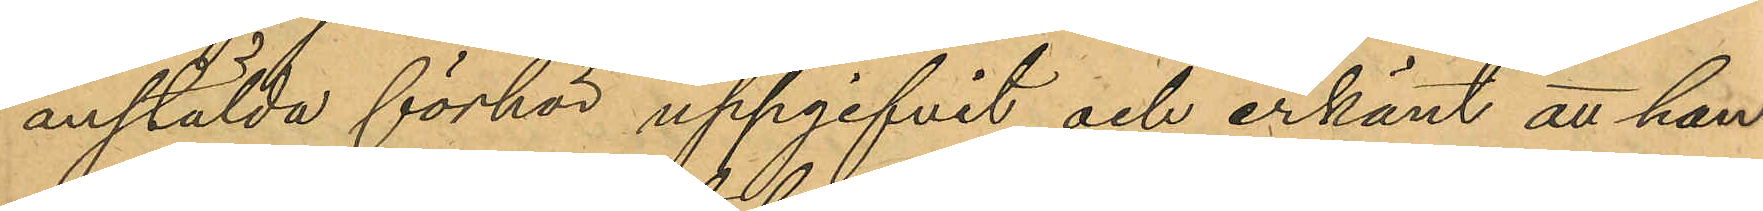anstälda förhör uppgifvit och erkänt att han
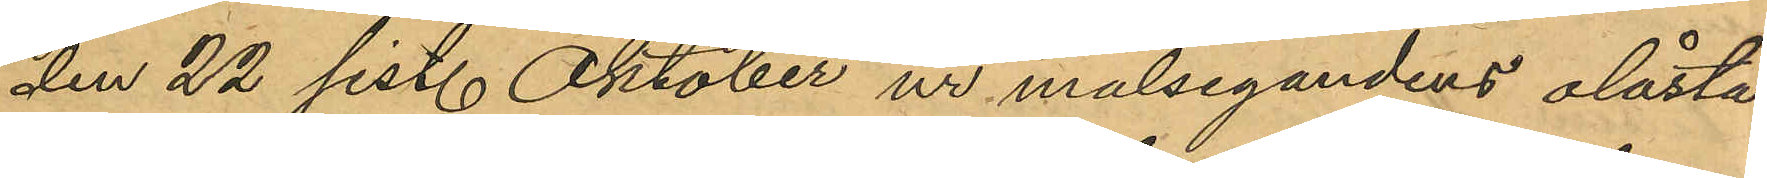den 22 sist. Oktober ur målsegandens olåsta
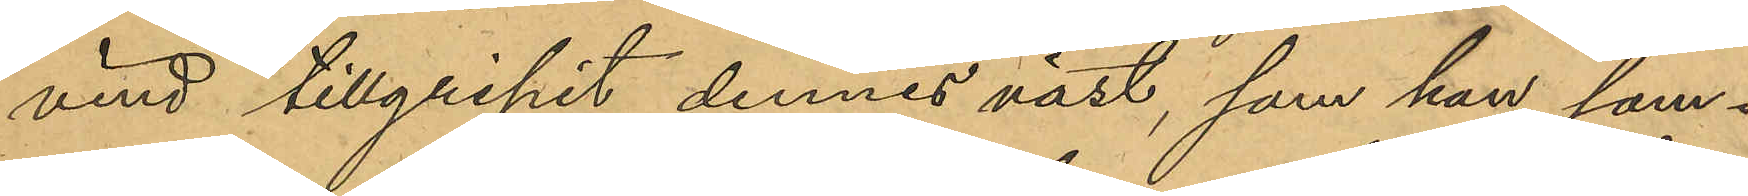vind tillgripit dennes väst, som han sam¬
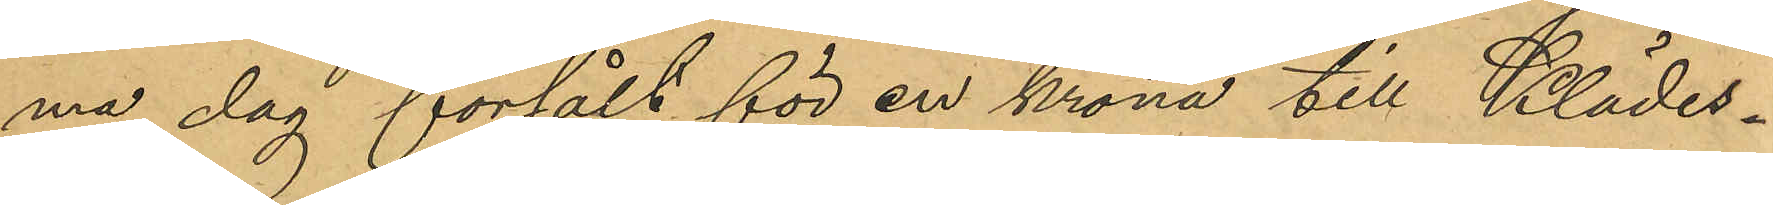ma dag försålt för en krona till Klädes¬
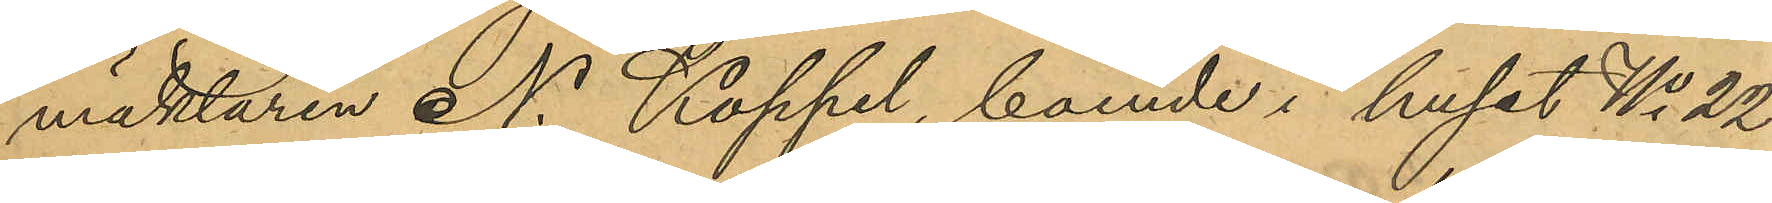mäklaren N. Köppel, boende i huset No 22
